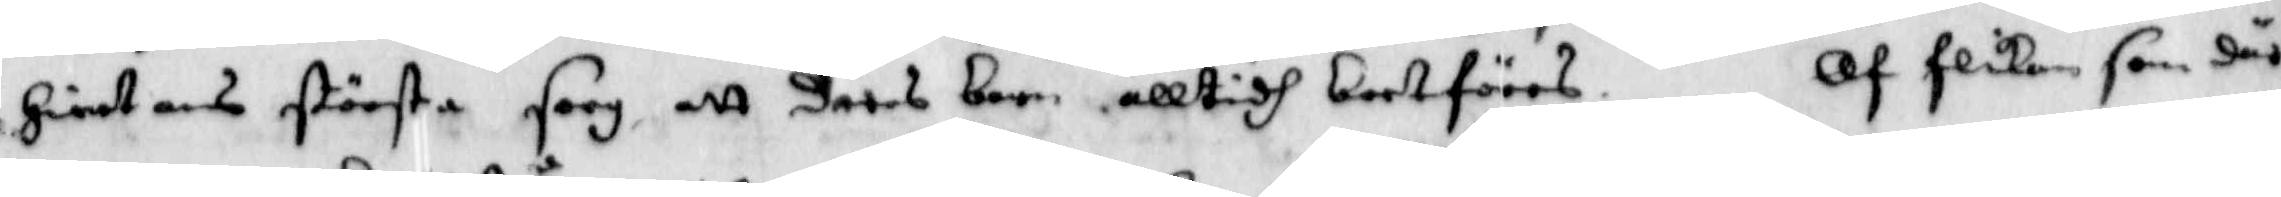Hiertans största sorg att deras barn alltidh bortföras. Af flikan som där
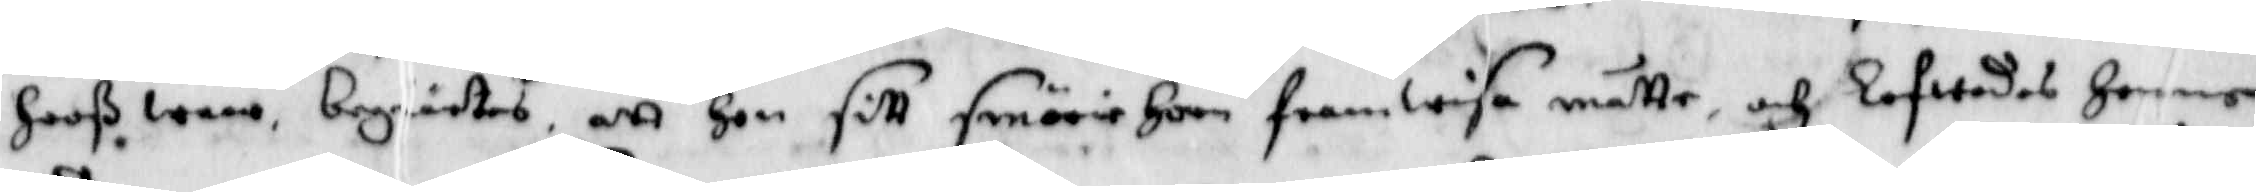Hooß woro begiärtes, att Hon sitt smörie Horn framwisa måtte, och Lofwades Henne
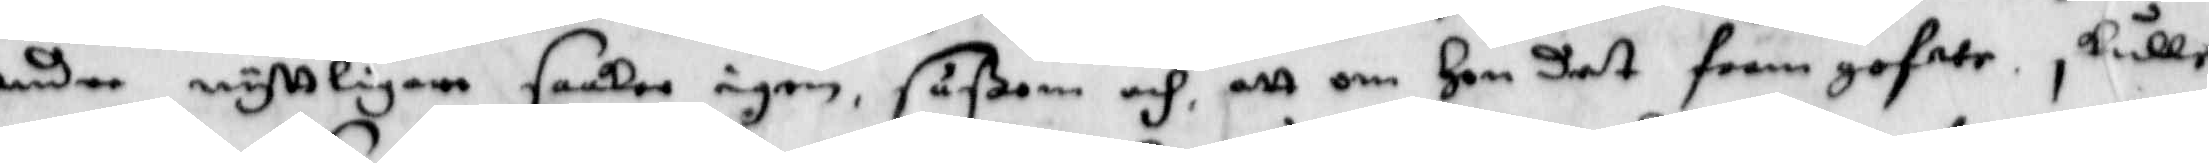andre nyttligare saaker igen, såßom och att om Hon det framhafwe skulle
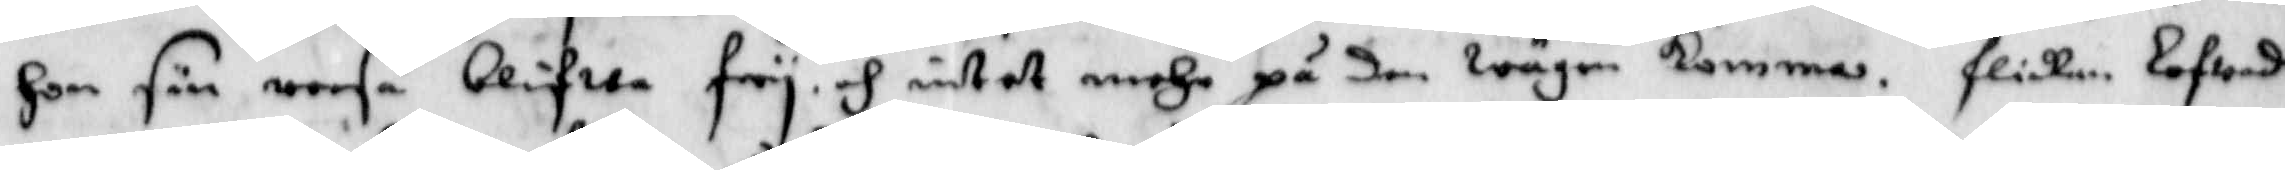Hon sin reesa blifwa fry, och intet mehr på den wägen komma. flickan Lofwade
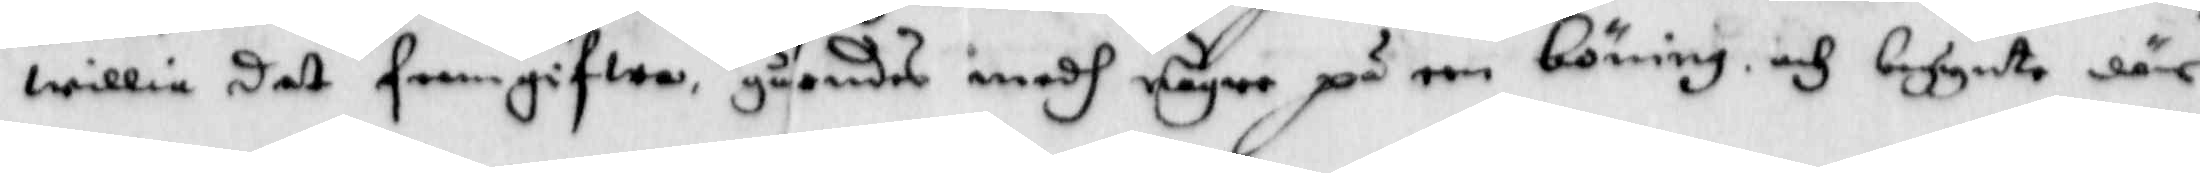willia det framgifwa, gåendes medh någre på een böning och begynte där
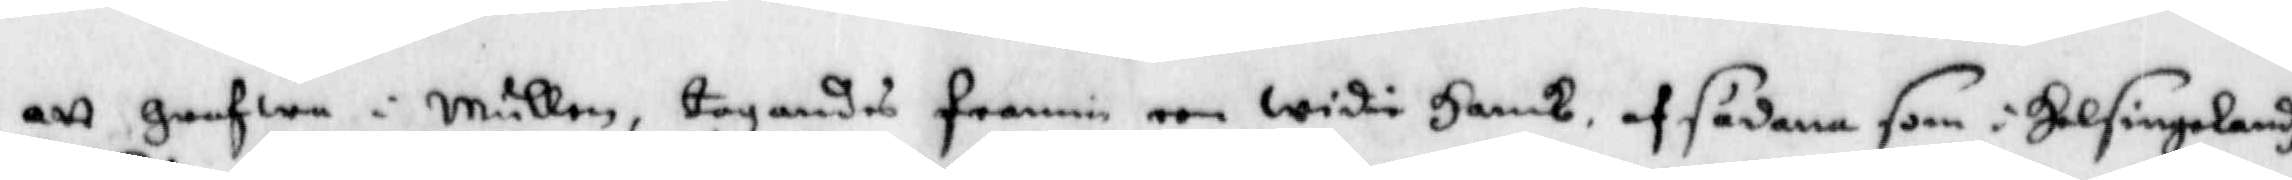att grefwa i Mullen, tagandes framm een widie Hank, af sådanda som i Helsingelandh
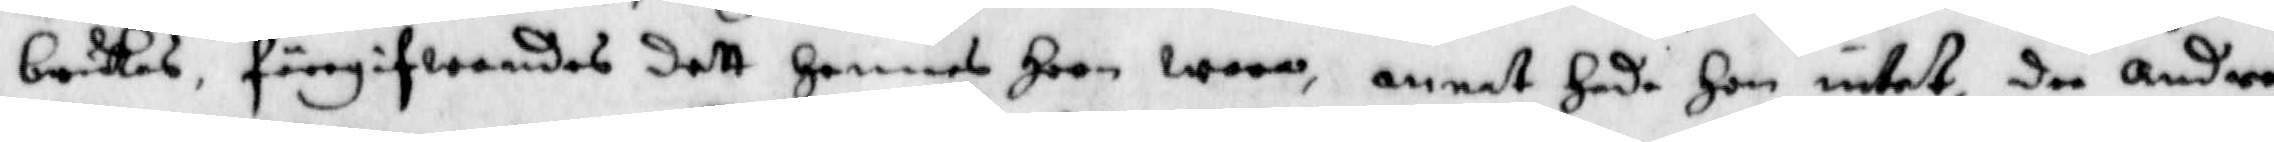brukas, föregifwandes dett Hennes Horn woro, annat Hade Hon intet, de andre
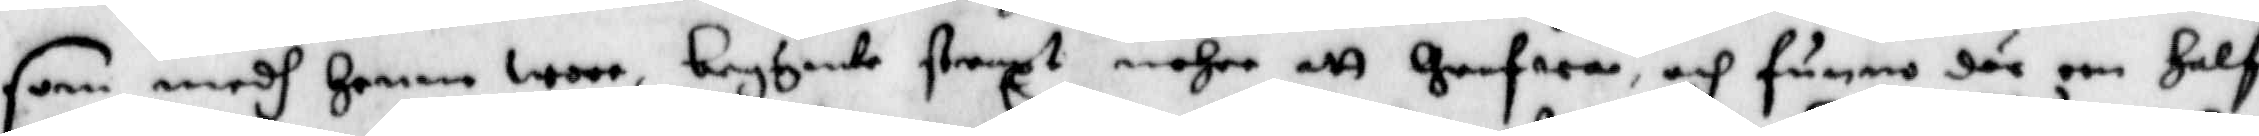som medh Henne woro, begynte straxt mehre att Grefwa, och funno där een Half
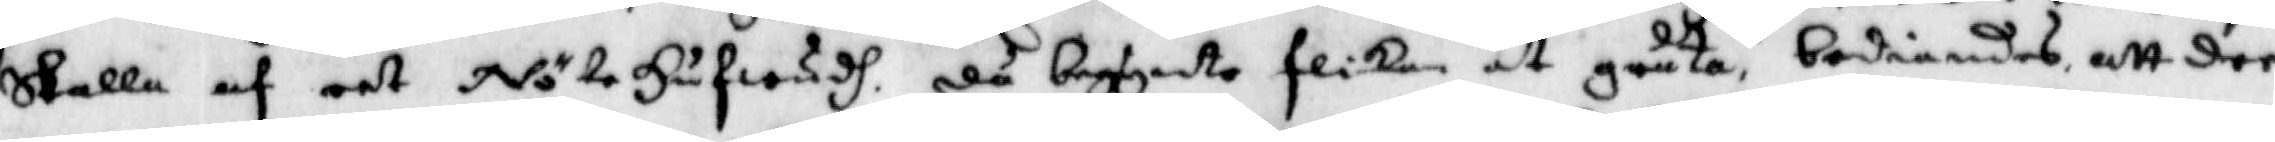Skalle af eet NöteHufwud, då begynte flickan at gråta, bediandes att dee
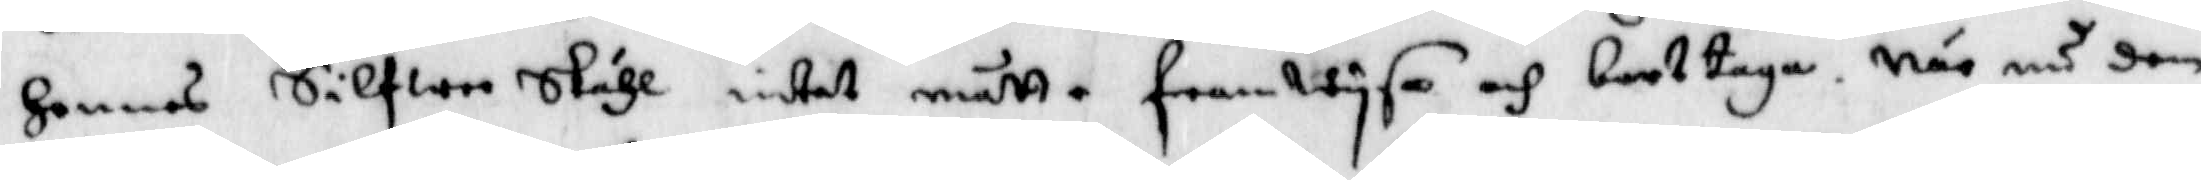Hennes Silfwer Skåhl intet måtte framwysa och bort taga, När nu den
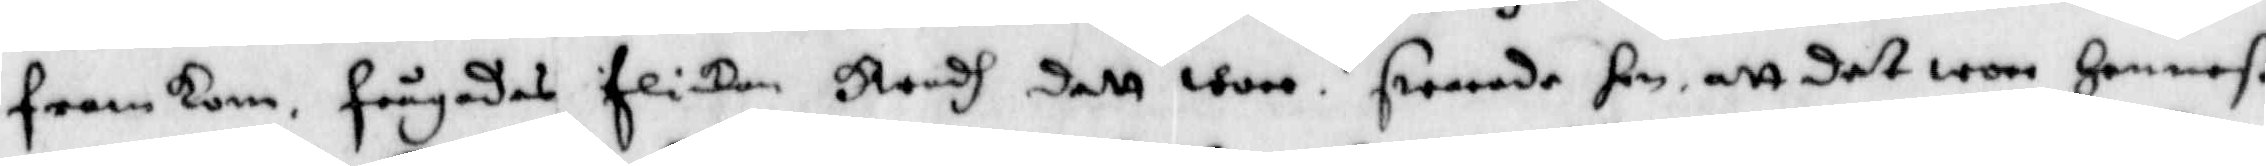framkom frågades flickan Hwad dett woro, swarade hon att det wore Henneß
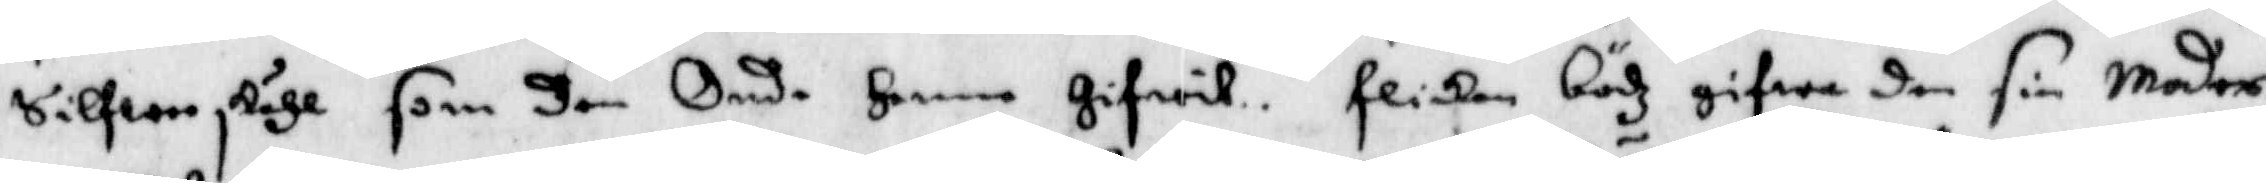Silfwer skåhl som den Onde Henne Gifwit. Flickan bödz gifwa den sin Moder,
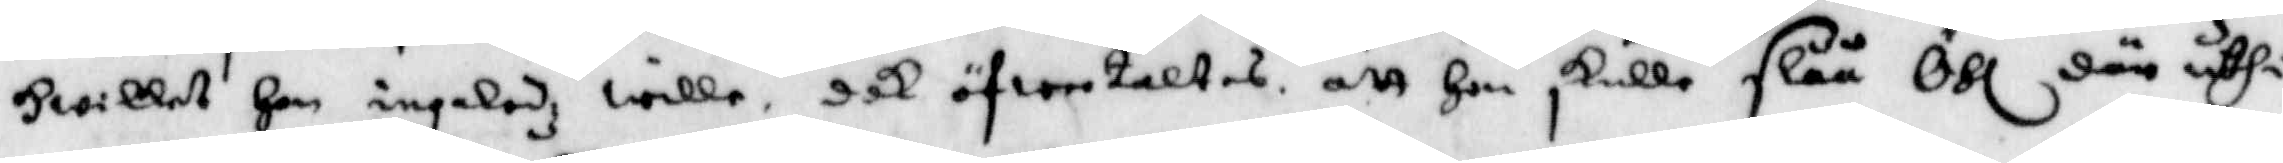Hwilket Hon ingaledz wille, dok öfwertaltes att Hon skulle slåå Öhl där uthi
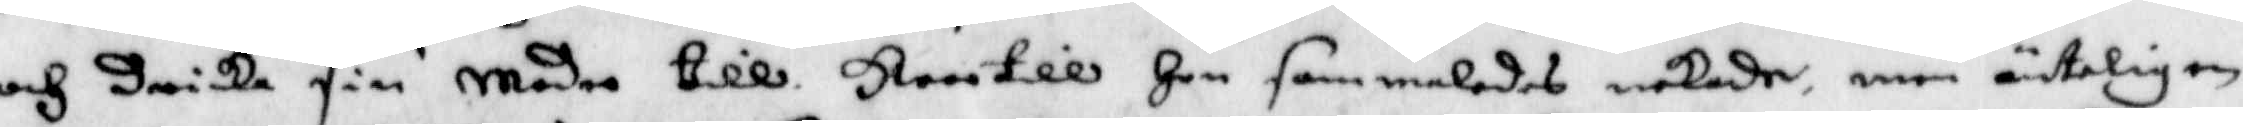och dricka sim Moder till, Hwartill Hon sammaledes nekade, men änteligen
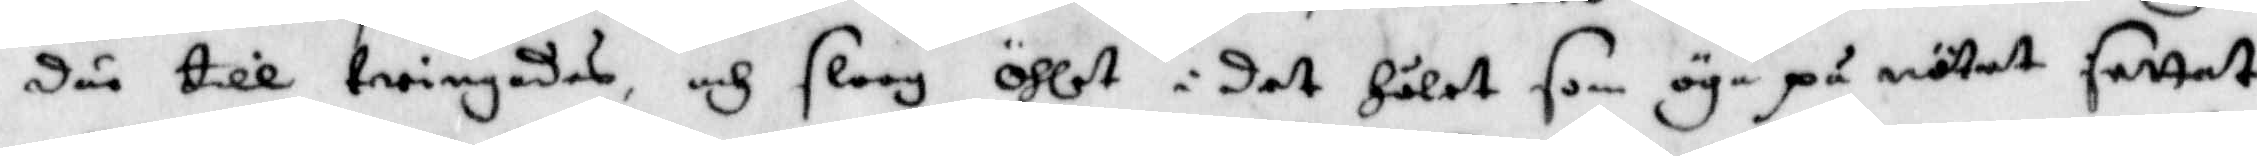där till twingades, och sloog Öhlet i det Hålet som öga på nötet settat
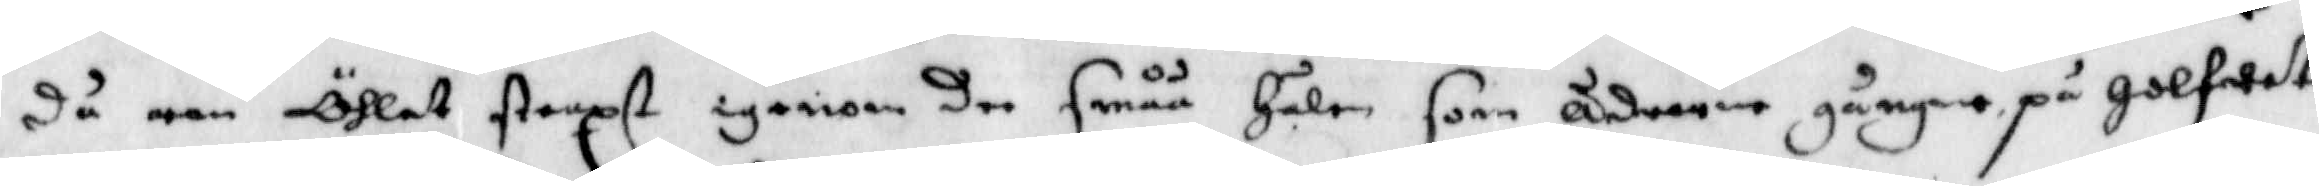då ran Öhlet straxt igenom dee småå Hålen som ådrorne gångne på golfwet
